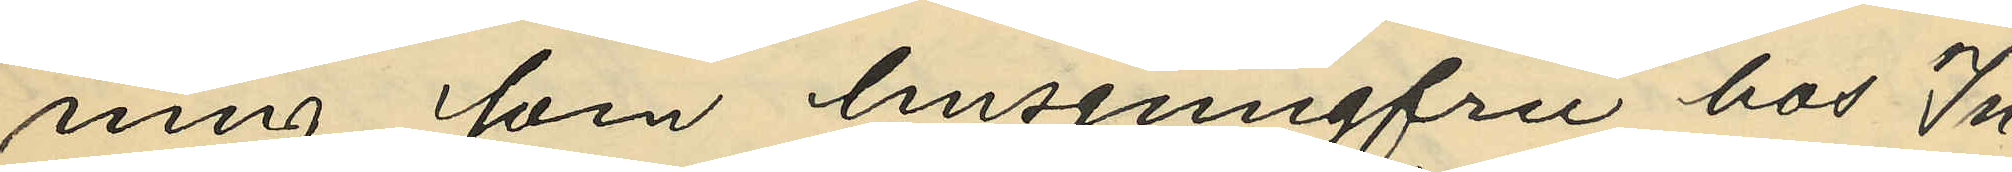ning som husjungfru hos In¬
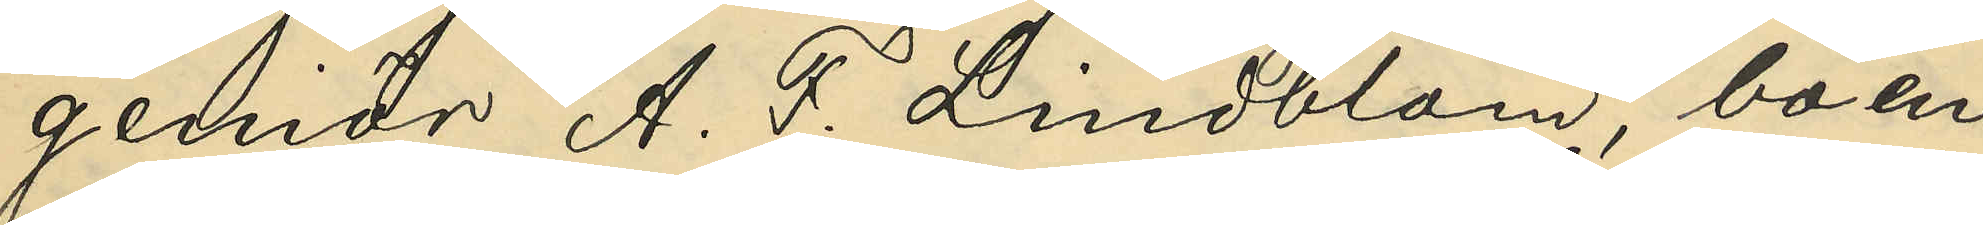geniör A. F. Lindblom, boen¬
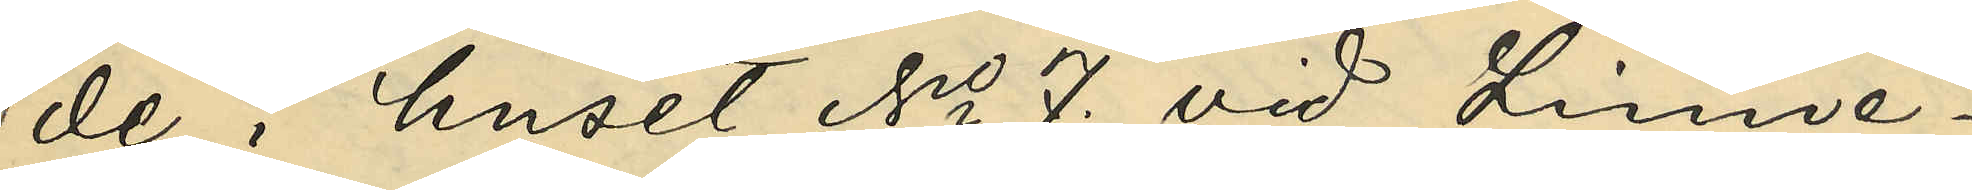de i huset No 7. vid Linné¬
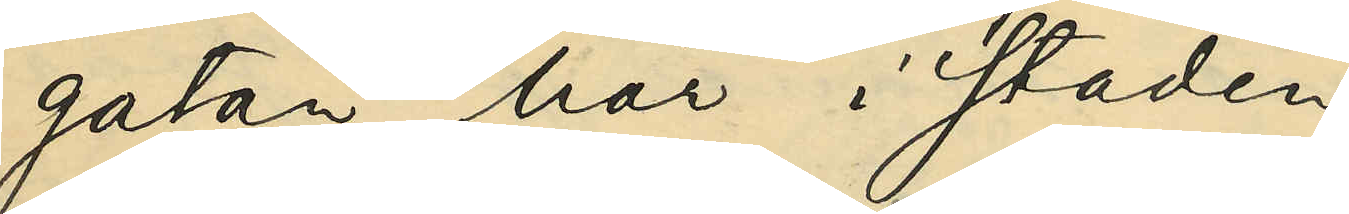gatan här i staden;
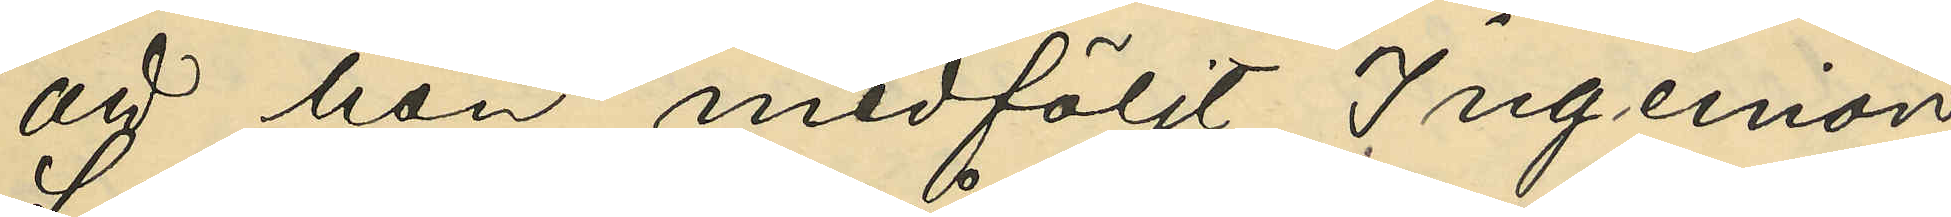att hon medföljt Ingeniör
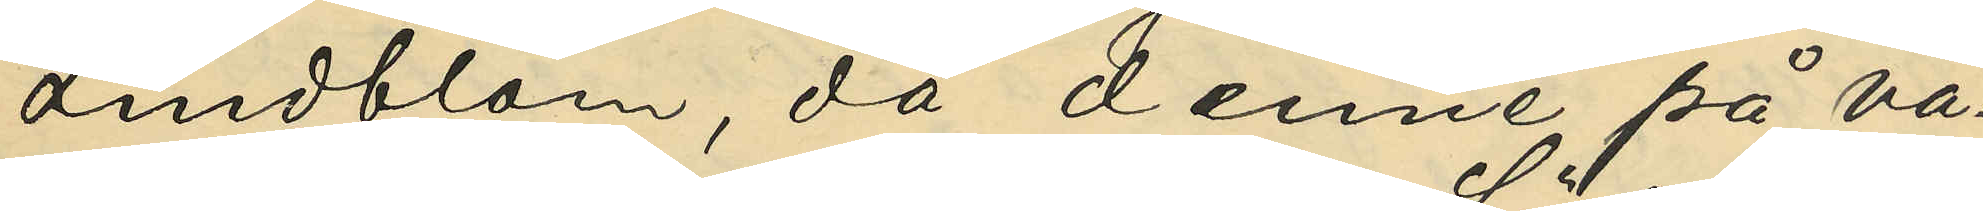Lindblom, då denne på vå¬
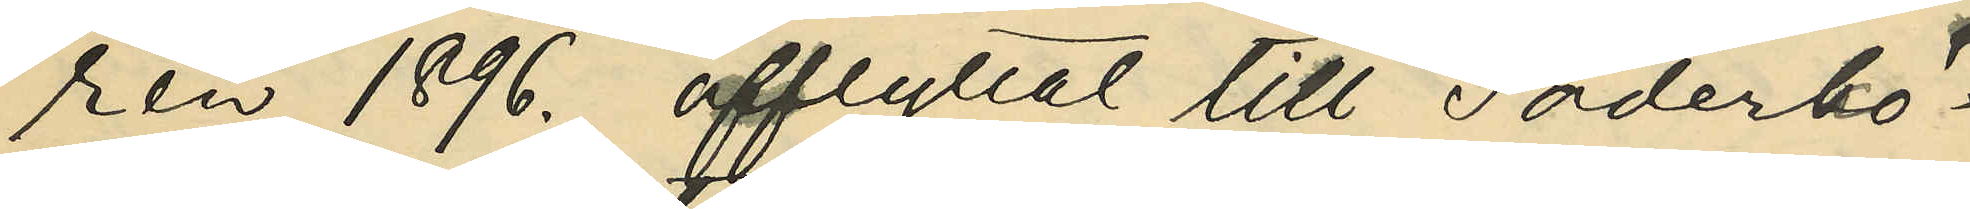ren 1896. afflyttat till Söderkö¬
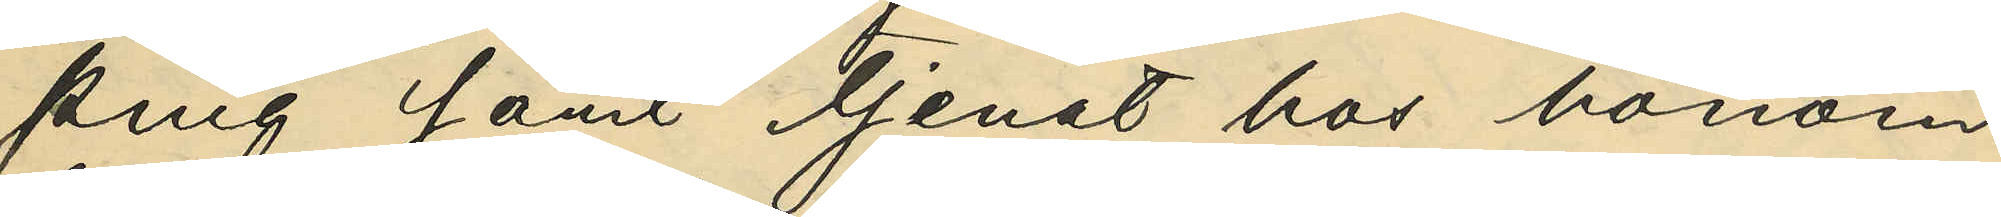ping samt tjenat hos honom
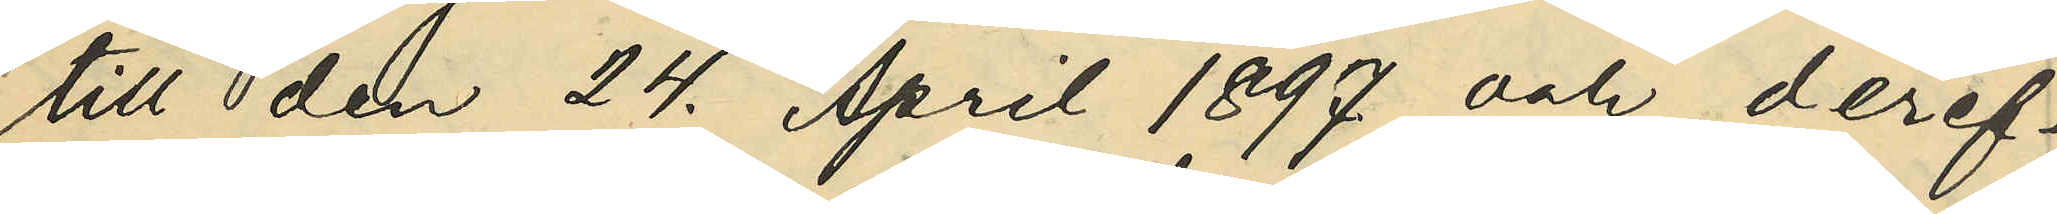till den 24. April 1897. och deref¬
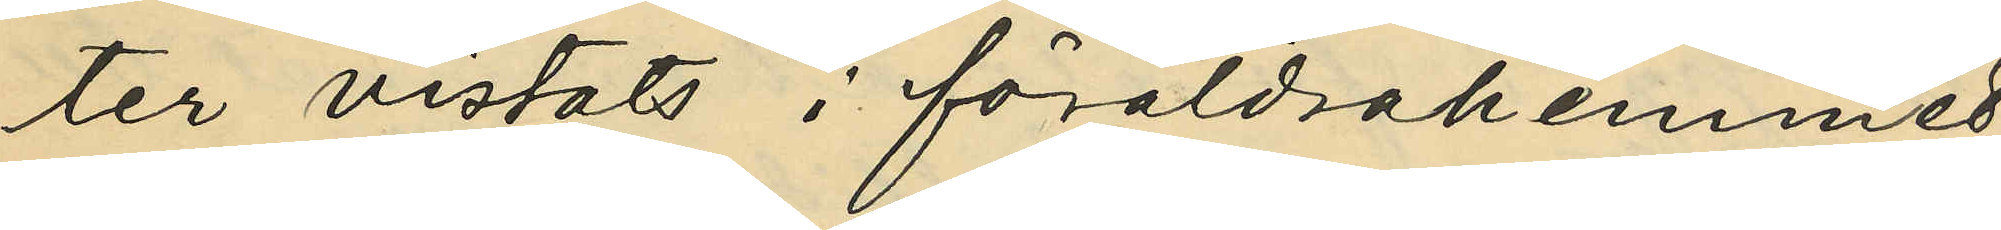ter vistats i föräldrahemmet
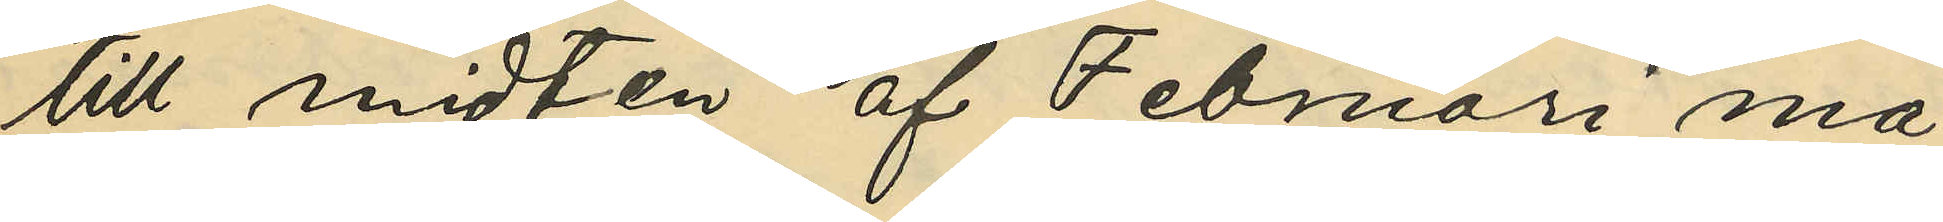till midten af Februari må¬
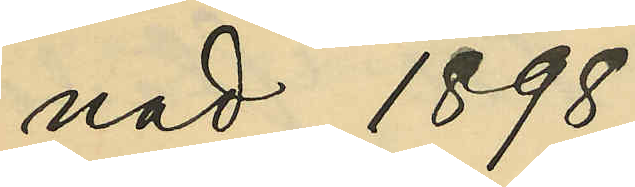nad 1898;
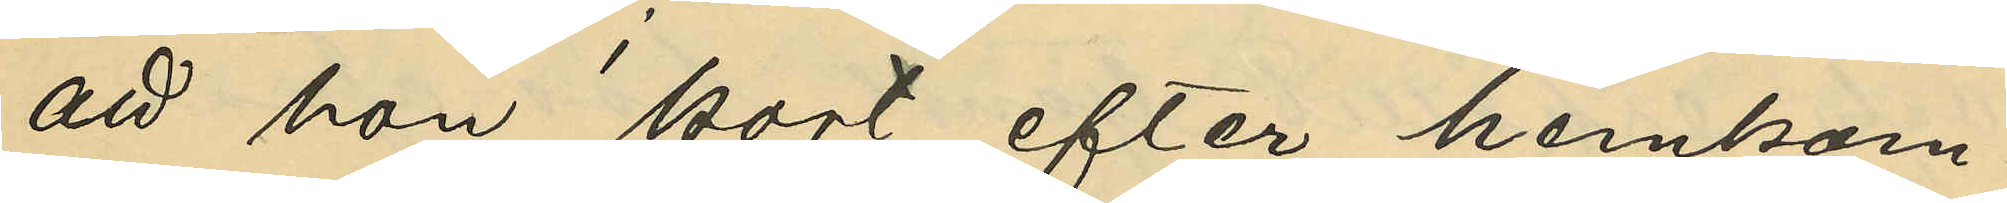att hon kort efter hemkom¬
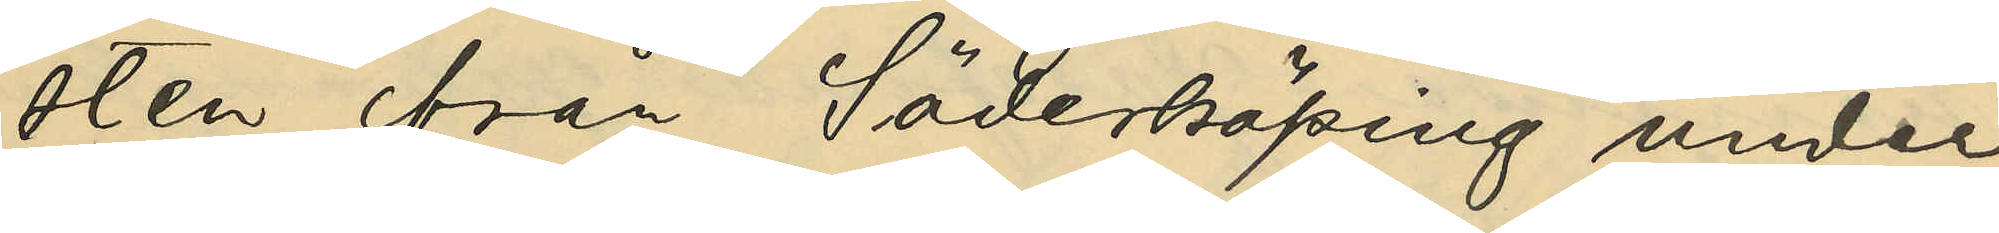sten från Söderköping under
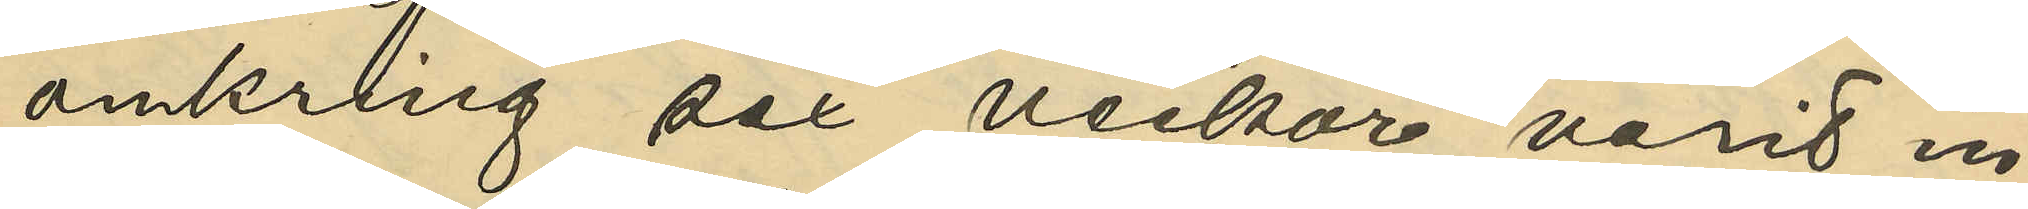omkring sex veckor varit in¬
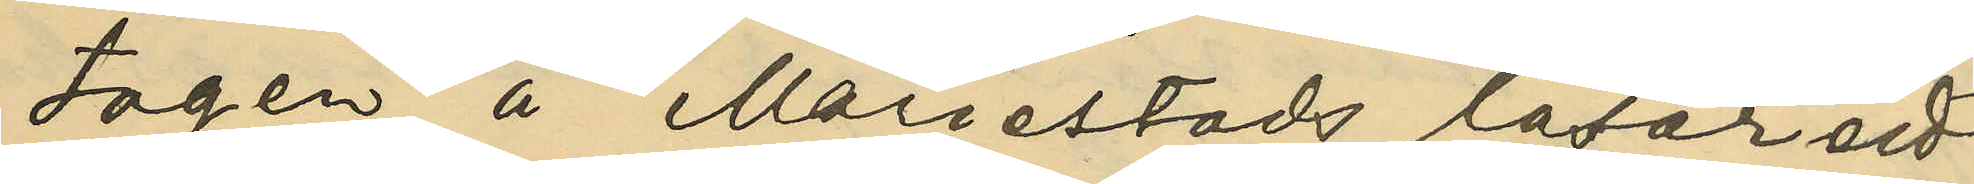tagen å Mariestads lasarett
